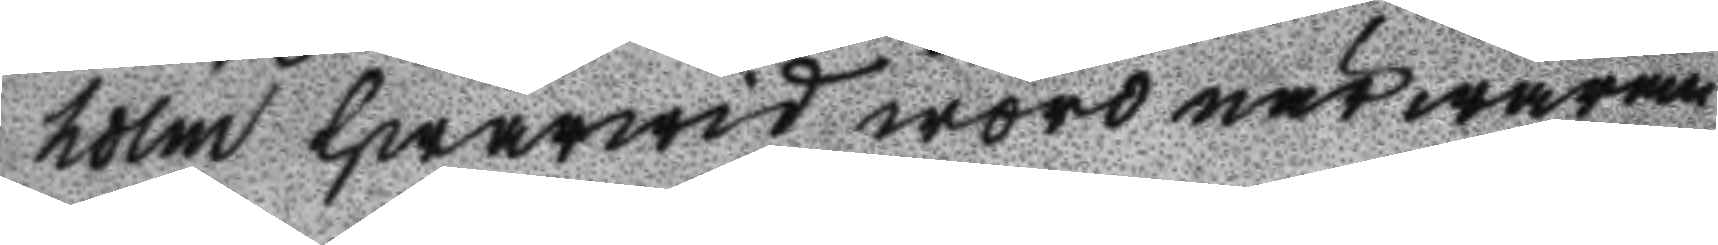holm hwarwid woro närwaran
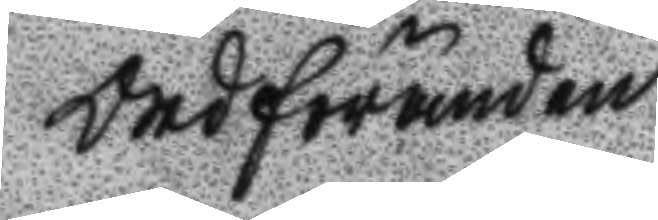Ordföranden
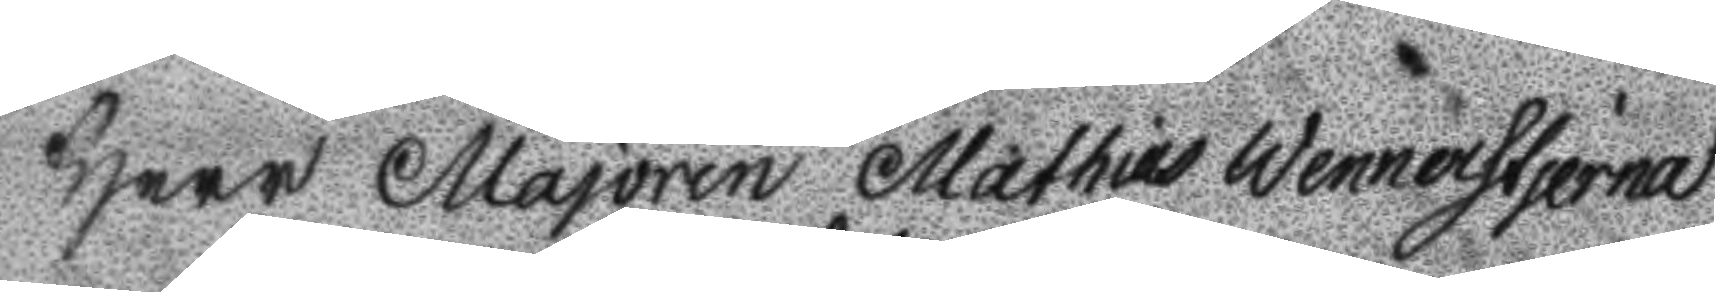Herr Majoren Mathias Wennerstjerna
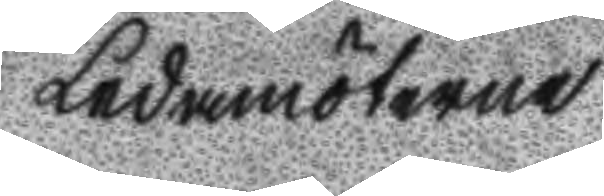Ledamöterne
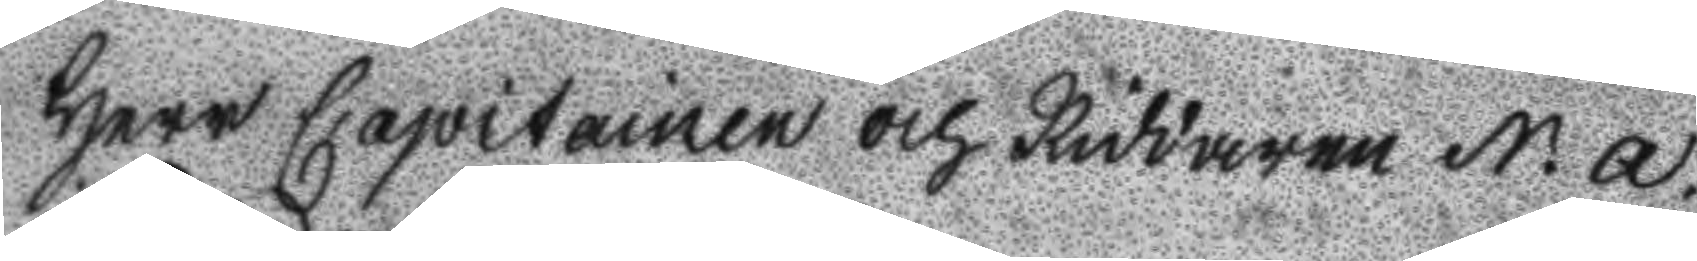Herr capitainen och Riddaren N. A. 
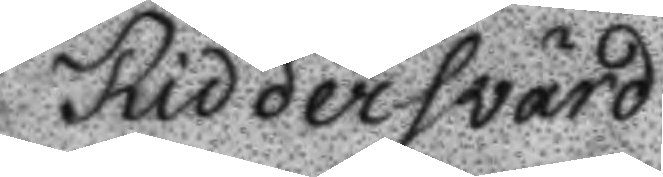Riddersvärd
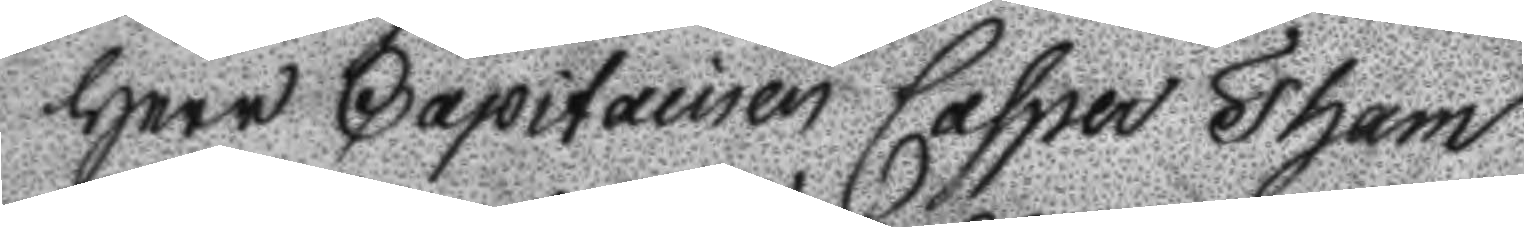Herr Capitainen Casper Tham
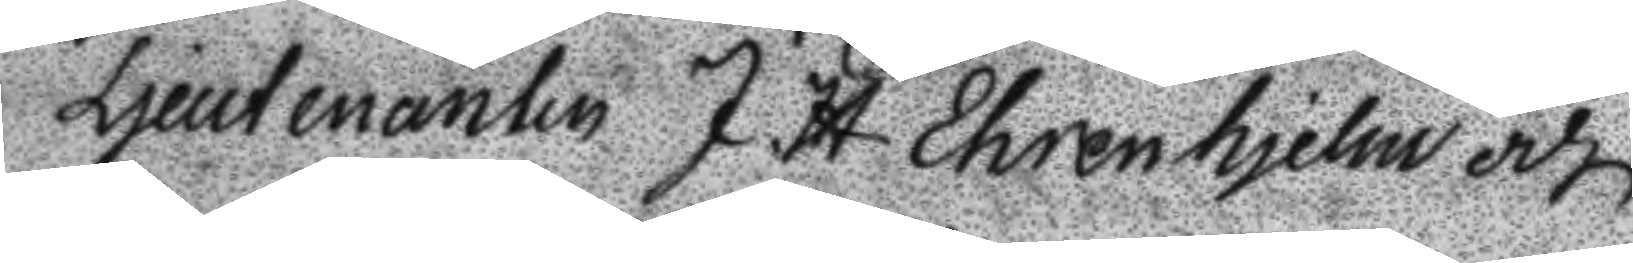Ljeutenanten J. H Ehrenhjelm och
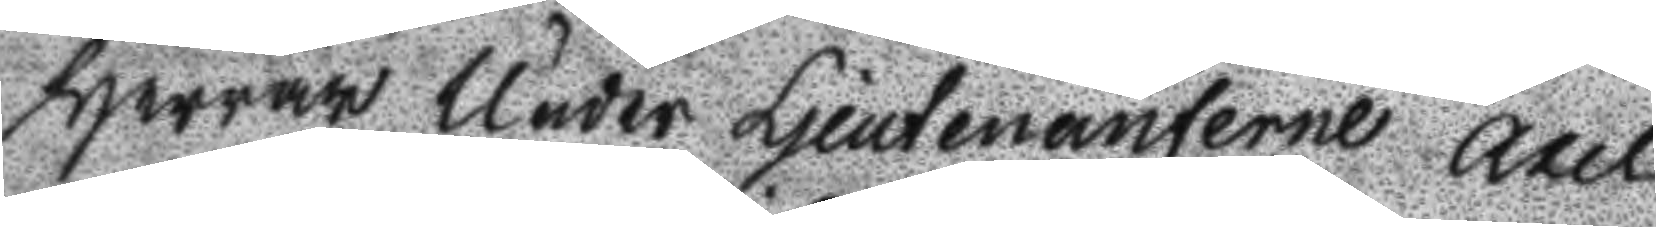Herrar Under Ljeutenanterne Axel
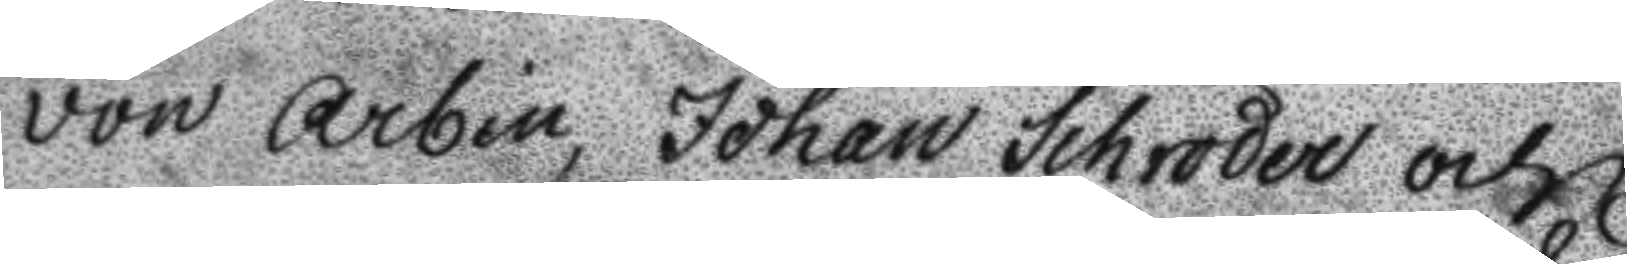von Arbin, Johan Schröder och
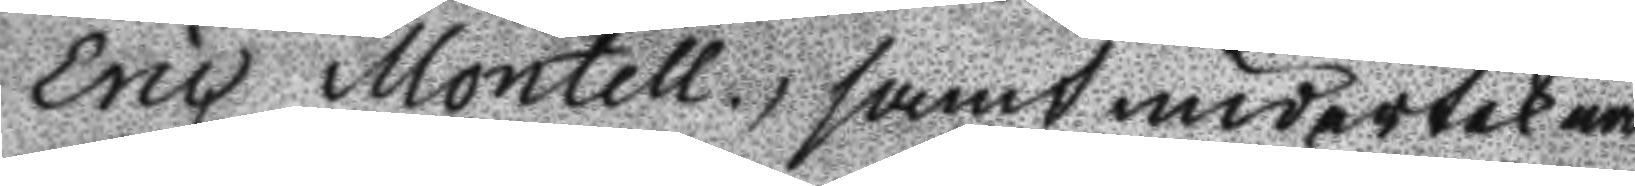eric Montell, samt underteknad
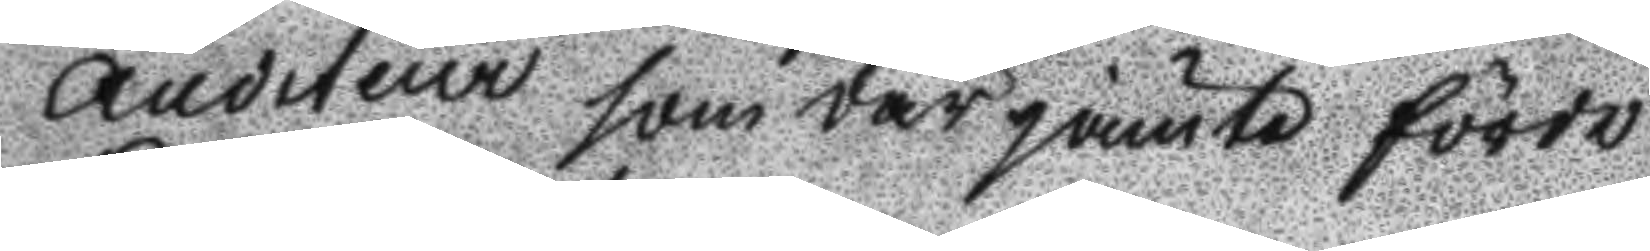Auditeur som där jämte förde
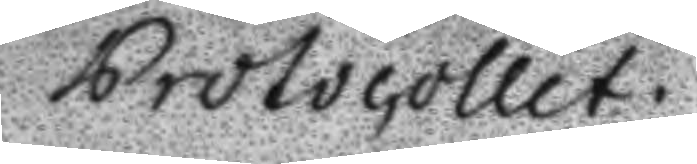Protocollet.
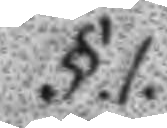§.1.
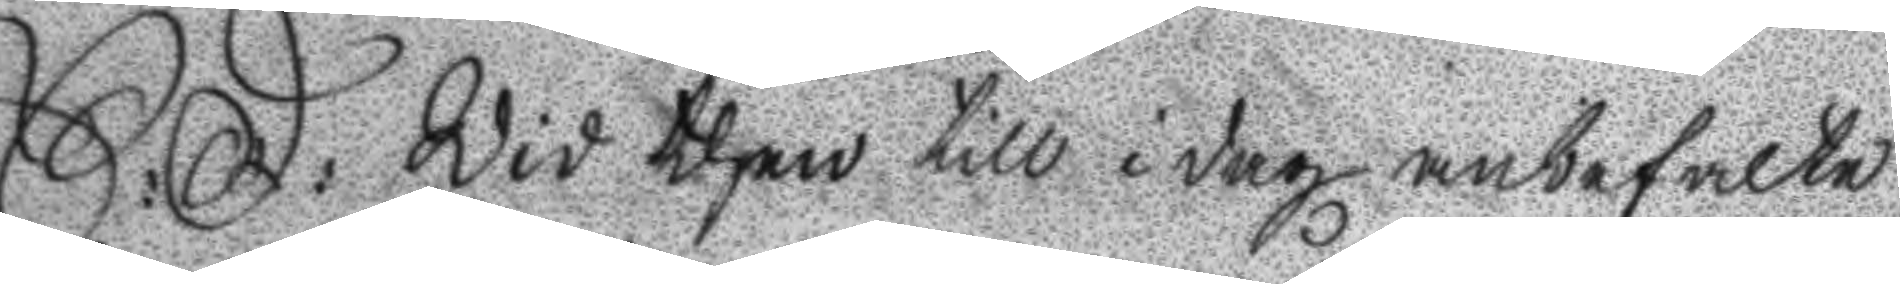S: D: Wid then till idag anbefalte
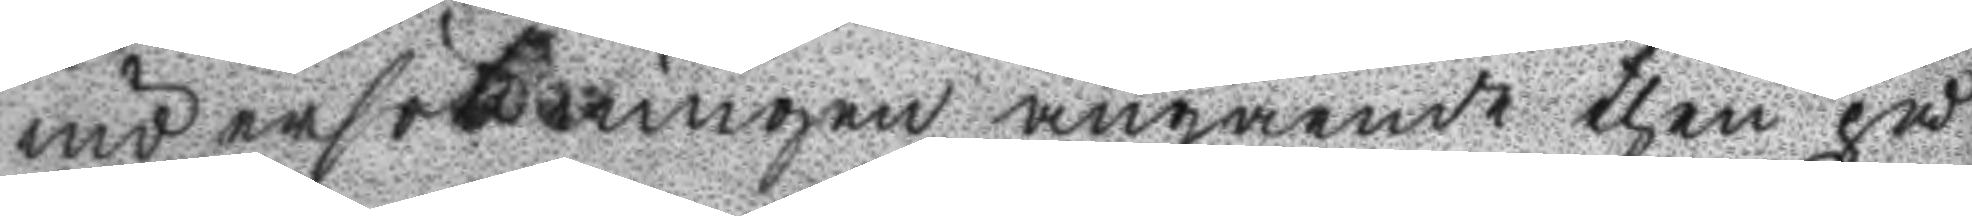undersökningen angående then på
